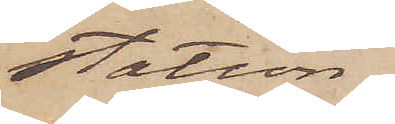station
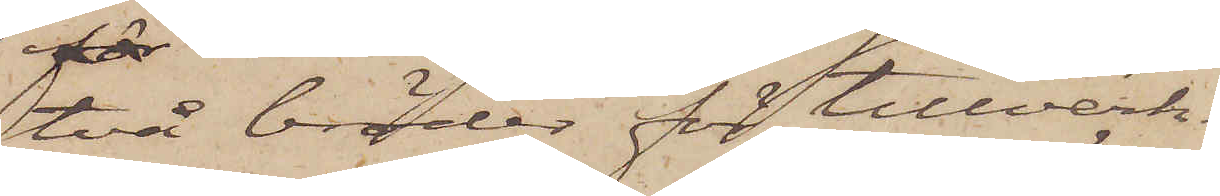två bröder för tillverk¬
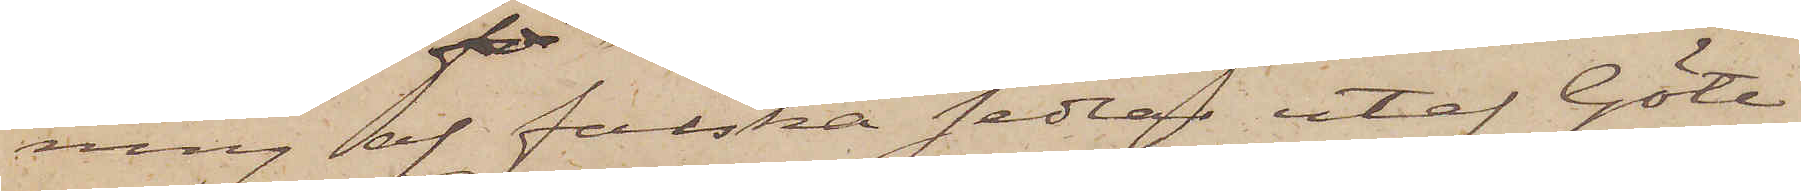ning af falska sedlar utaf Göte¬
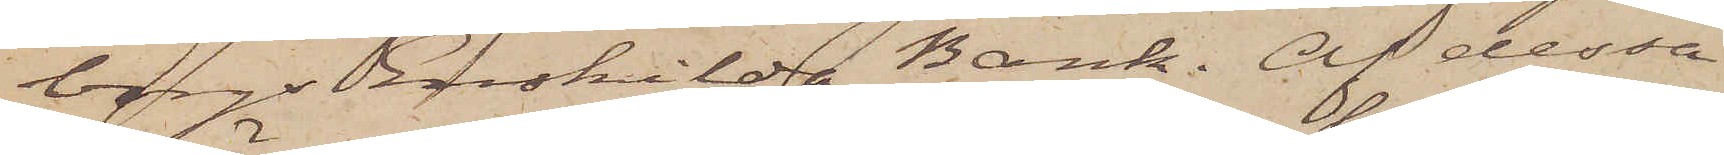borgs Enskilda Bank. Af dessa
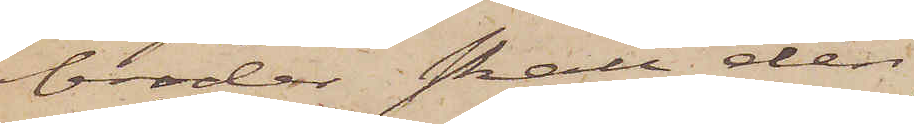bröder skall den
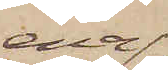ena
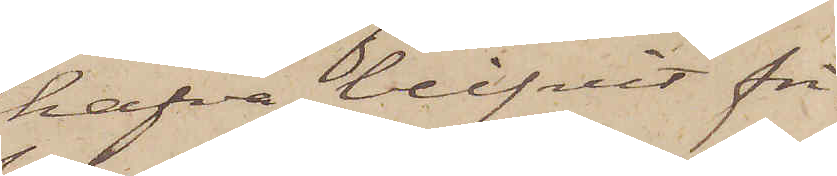hafva blifvit fri¬
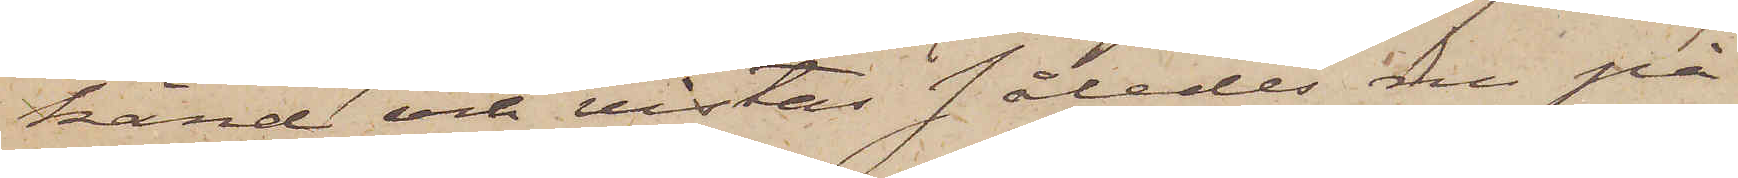känd och vistas således nu på
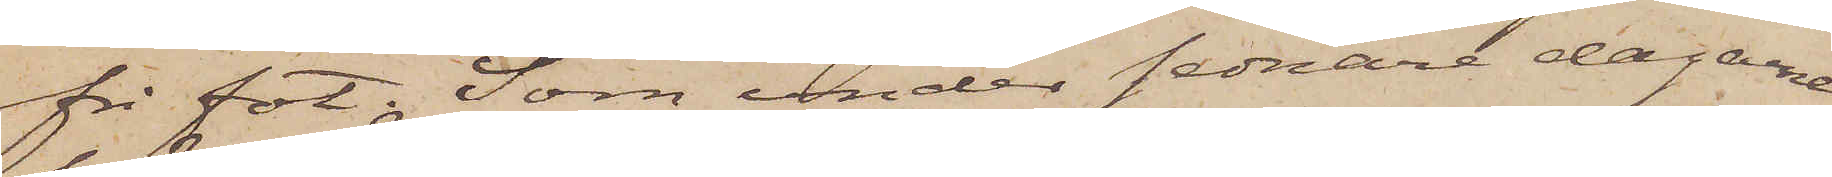fri fot. Som under sednare dagarne
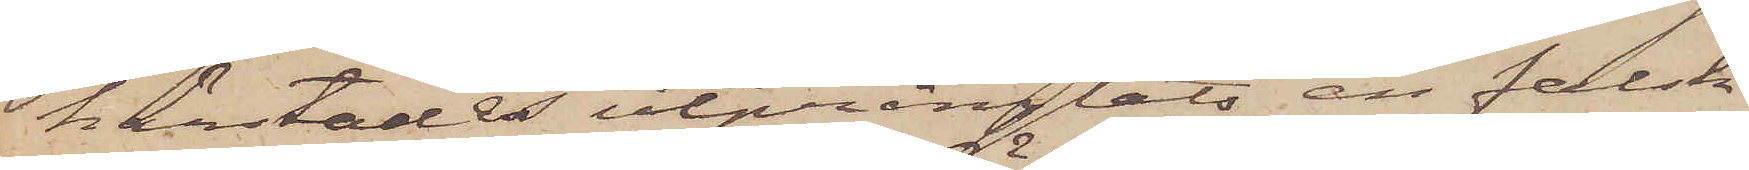härstädes utprånglats en falsk
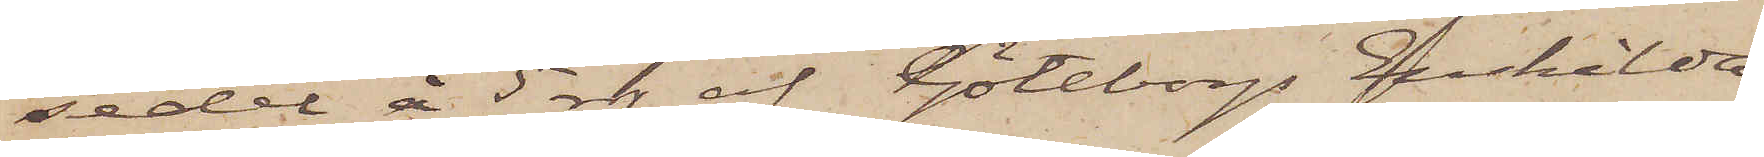sedel å 5 rdr af Göteborgs Enskilda
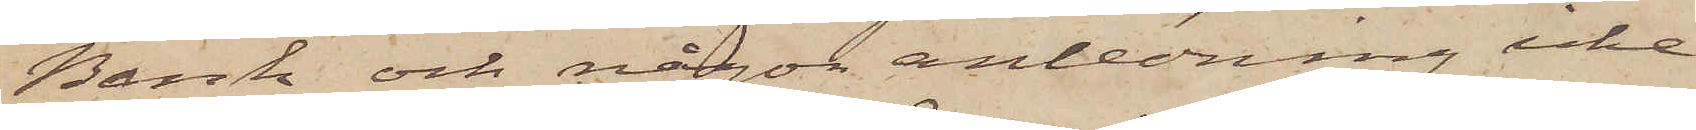Bank och någon anledning icke
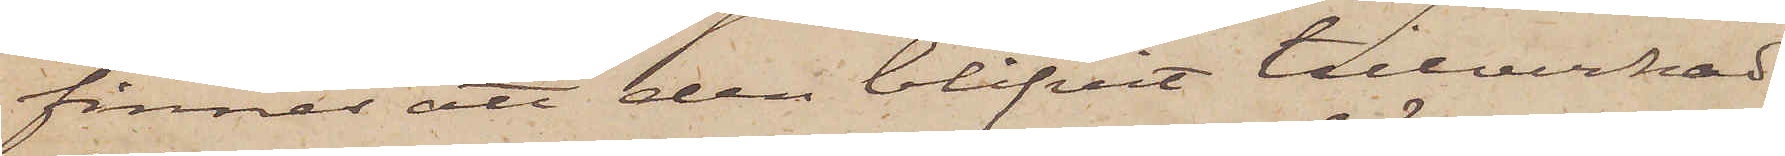finnes att den blifvit tillverkad
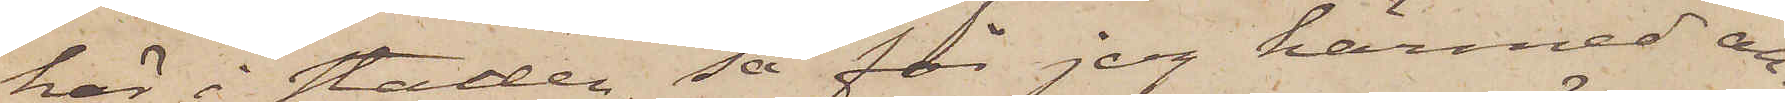här i staden, så får jag härmed an¬
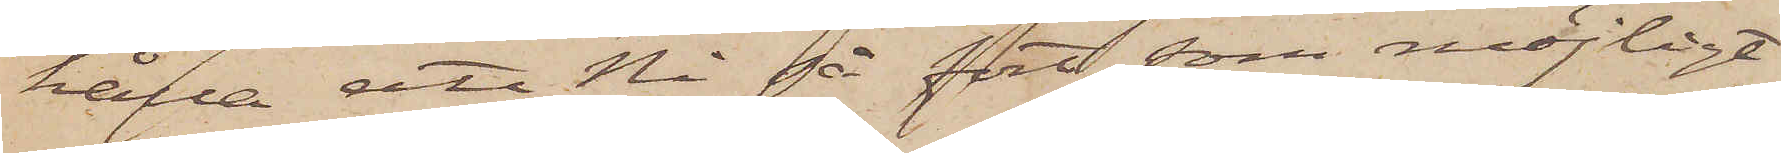hålla ett Ni så fort som möjligt
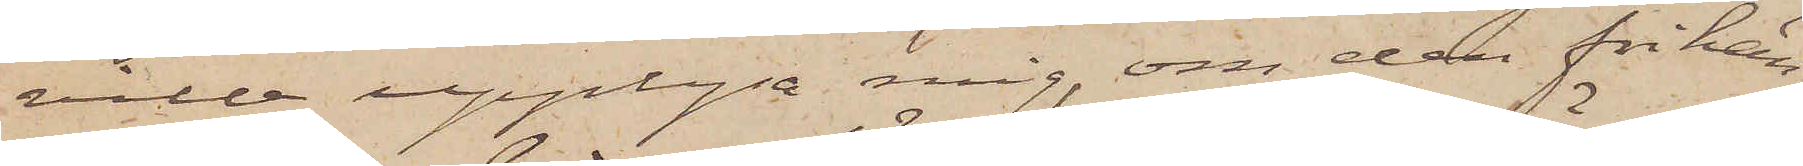ville upplysa mig, om den frikän¬
